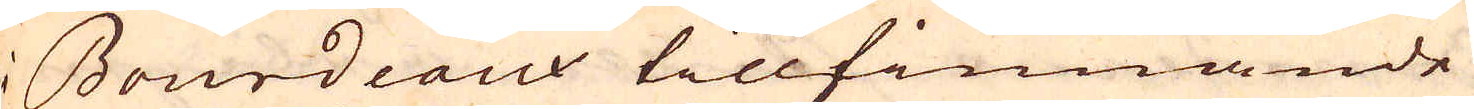i Bourdeaux tillfinnande
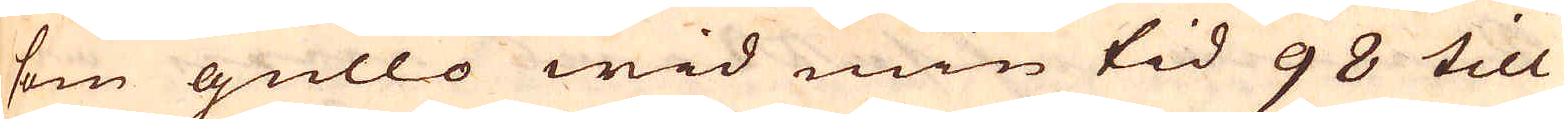som gullo wid min tid 98 till
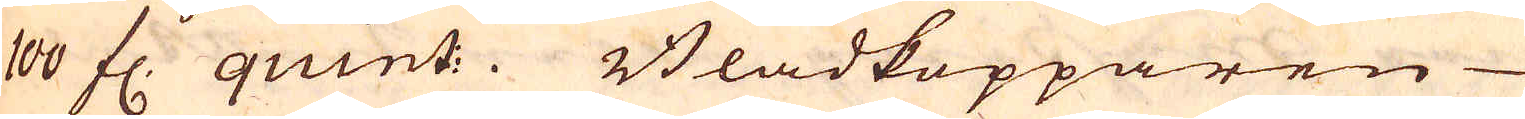100 fl. quint:. Bladkopparen
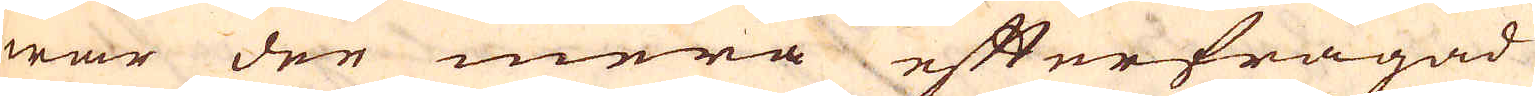war den mera efterfrågad
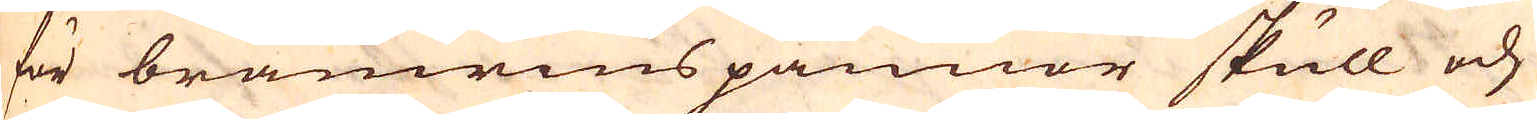för bränwinspannor skull och
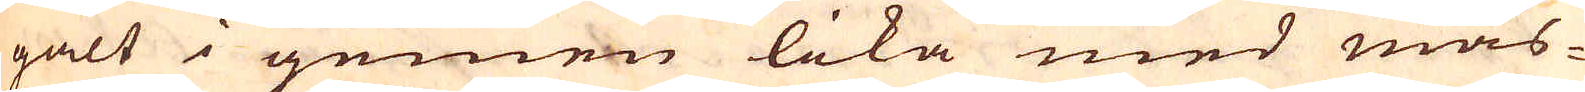galt i gemen lika med mäs-
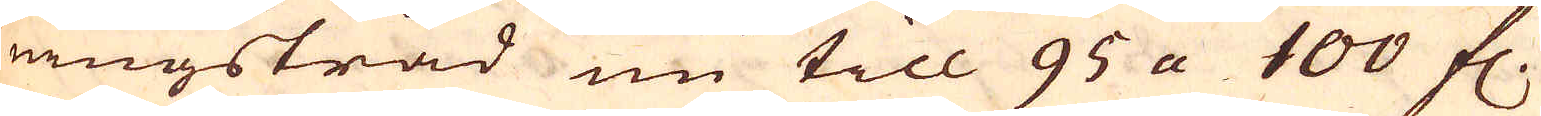singstråd nu till 95 a 100 fl.
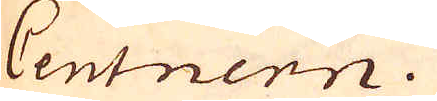Centnern.
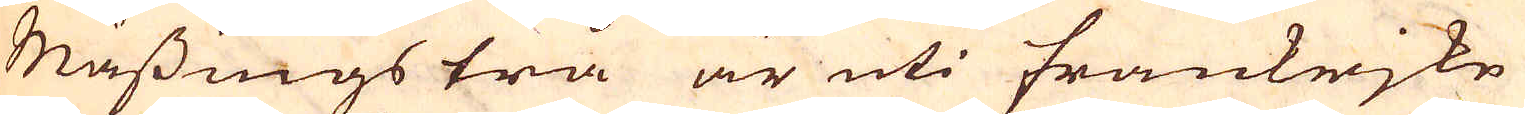Mässingstrå är uti Frankrjke
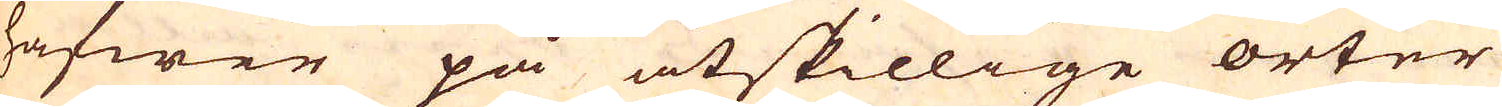hafwer på åtskillige orter
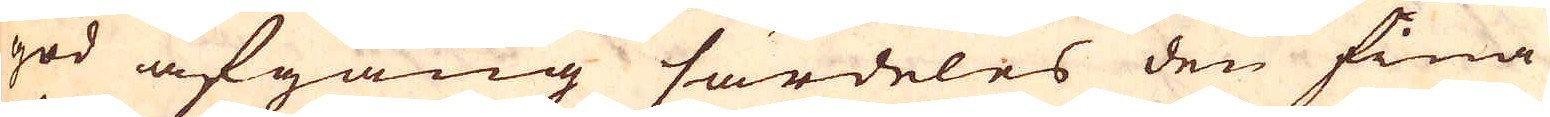god afgång särdeles den fina
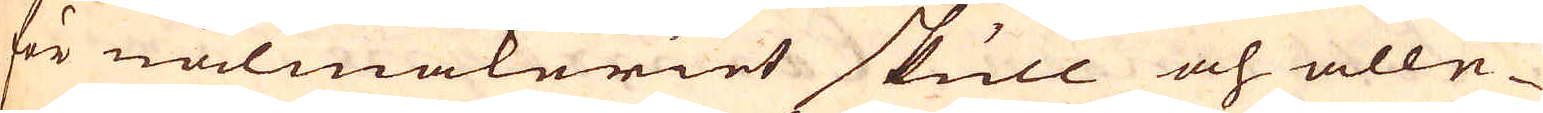för nålmakeriet skull och alle-
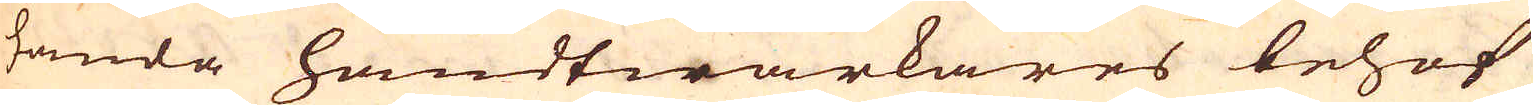handa handtwärkares behof
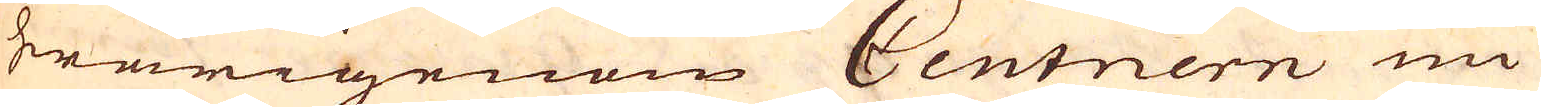hwarigenom Centnern nu
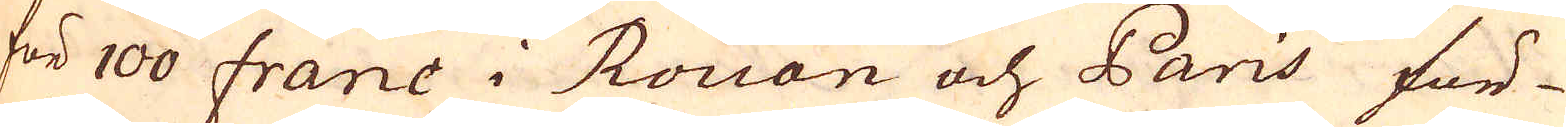för 100 franc i Rouan och Paris för-
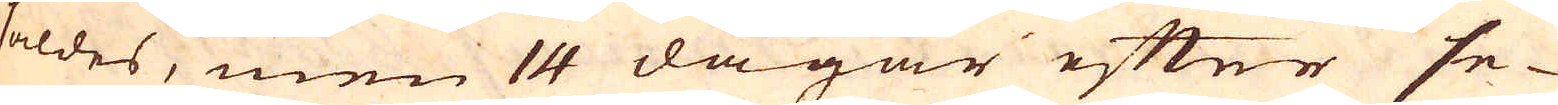såldes, men 14 dagar efter se-
